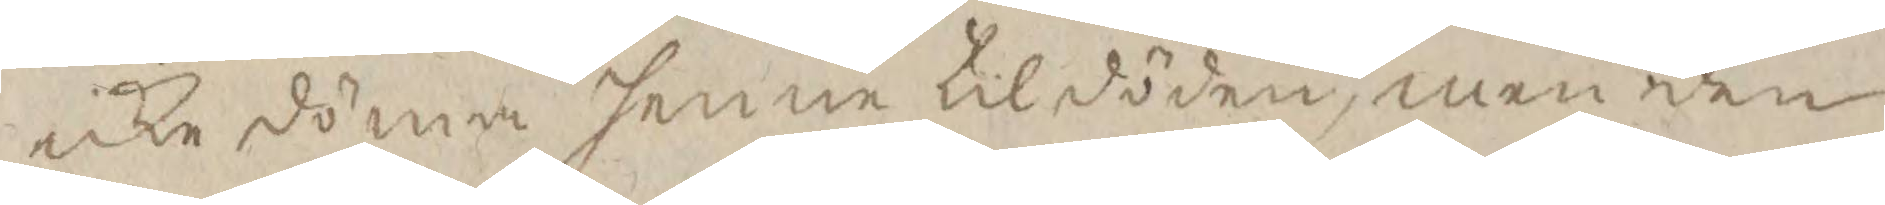icke döma henne til döden, men den
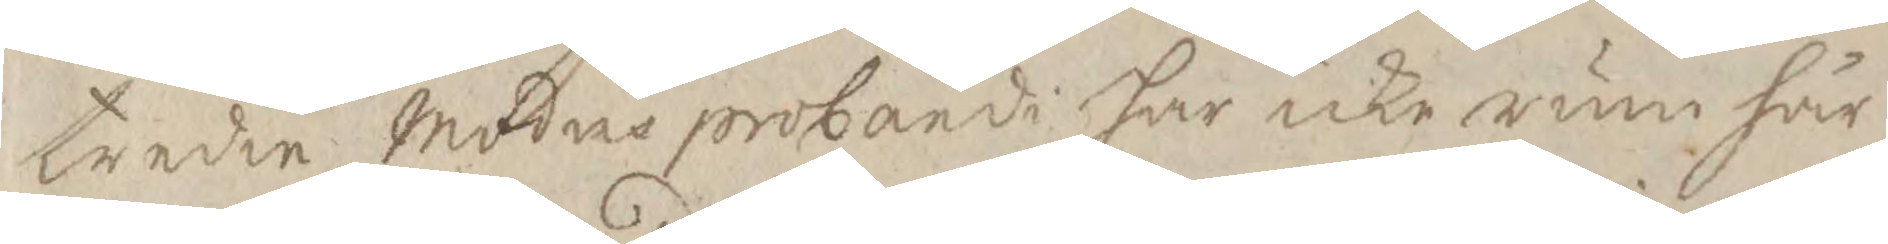tredie Modes probande har icke rum här
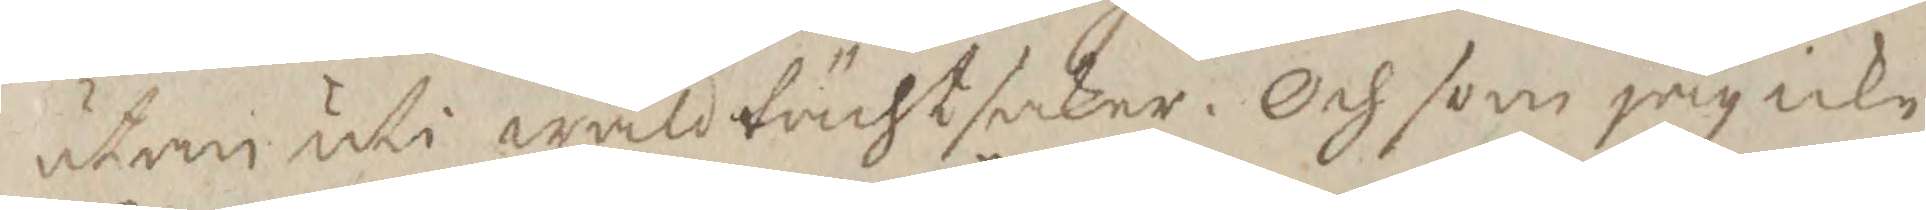utan uti wåldtächtsaker. Och som jag icke
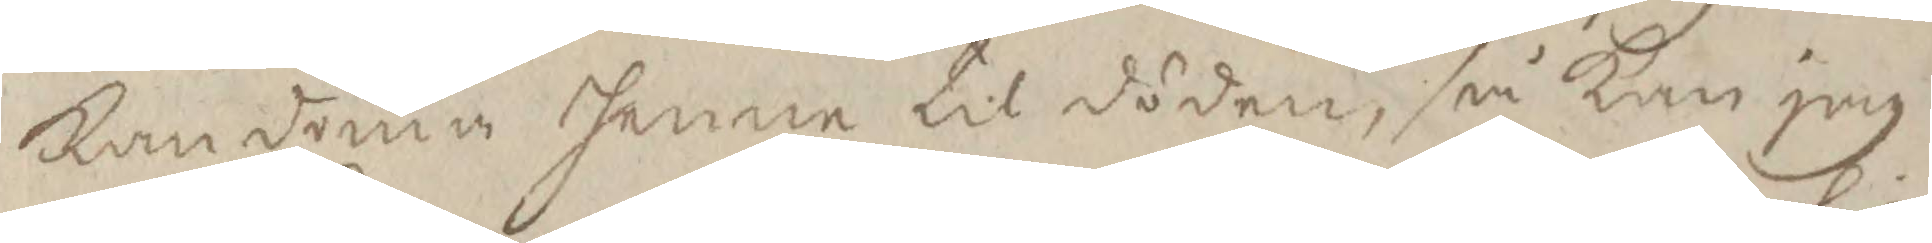Kan döma henne til döden, så Kan jag
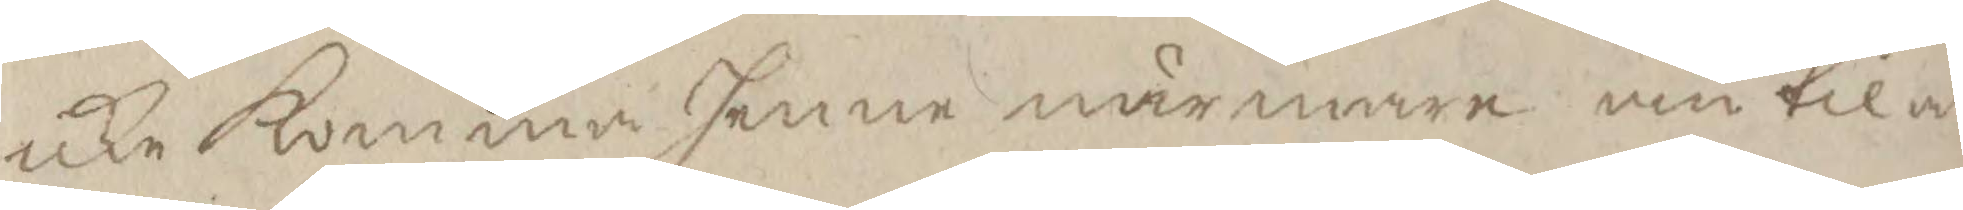icke Komma henne närmare än til at
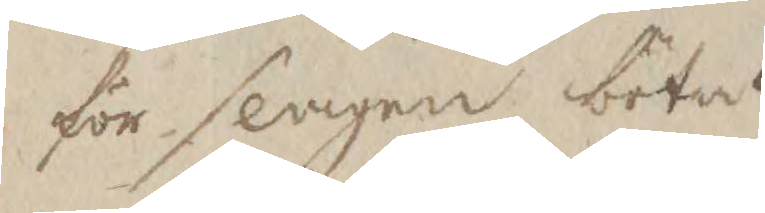för slagen böta.
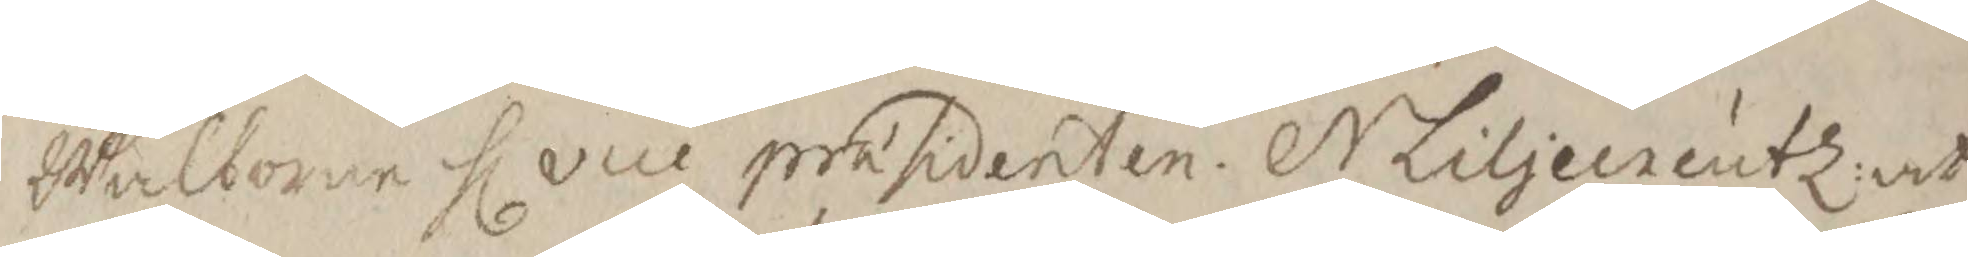Wälborne Hl vice prasidenten N Liljecreutz: at
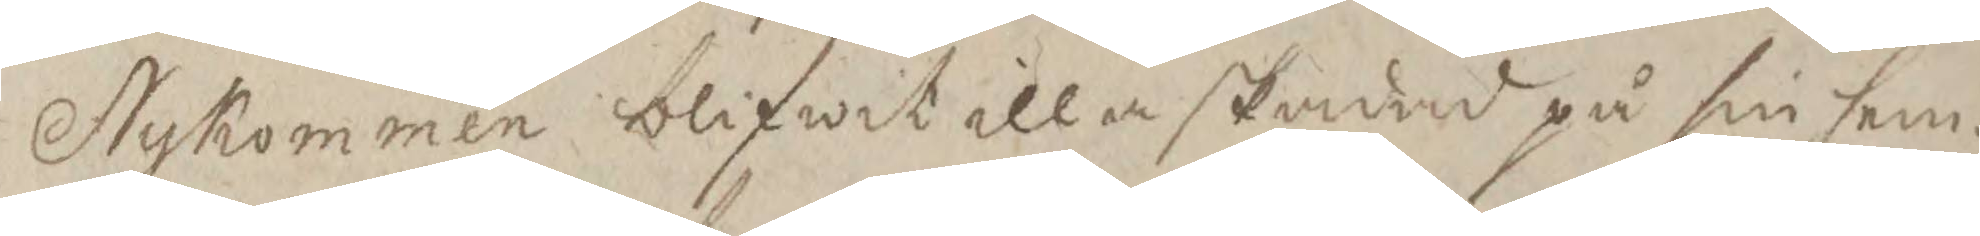Nykommen blifwit iall skadad på sin hem¬
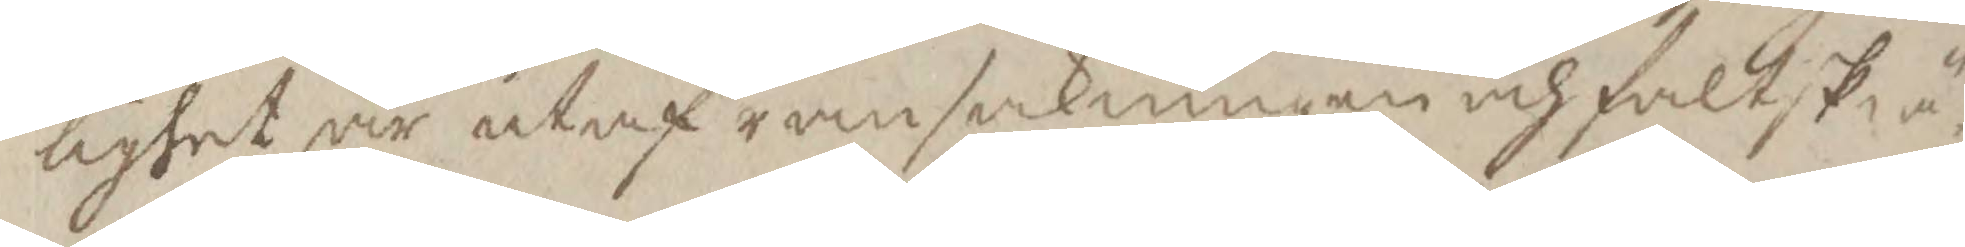lighet är utaf ransakningen och fältskä¬
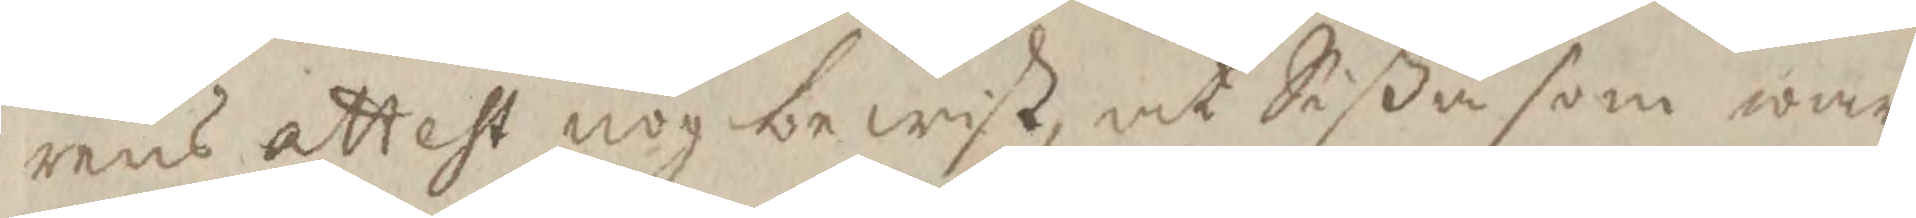rens attest nog bewist, at Sißa som war
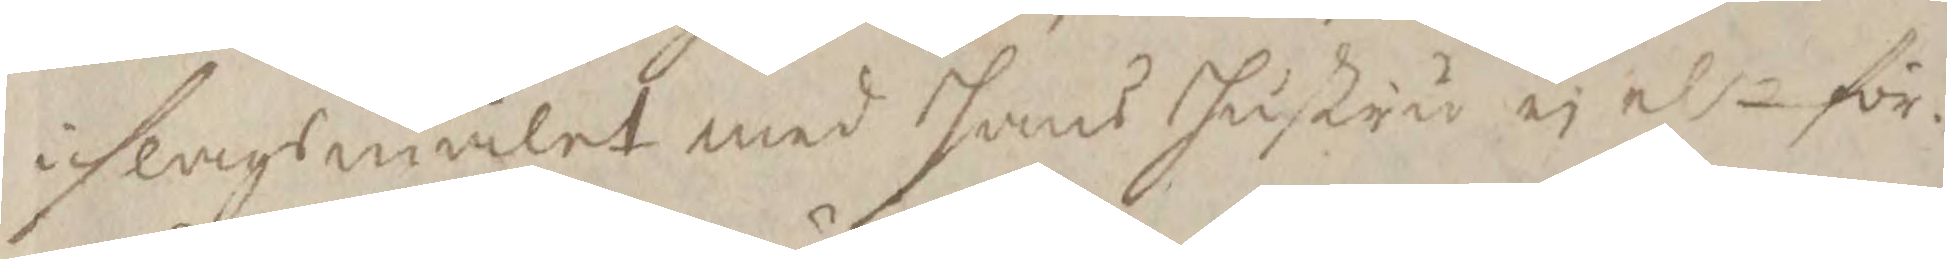i slagsmålet med hans hustru ei elr för¬
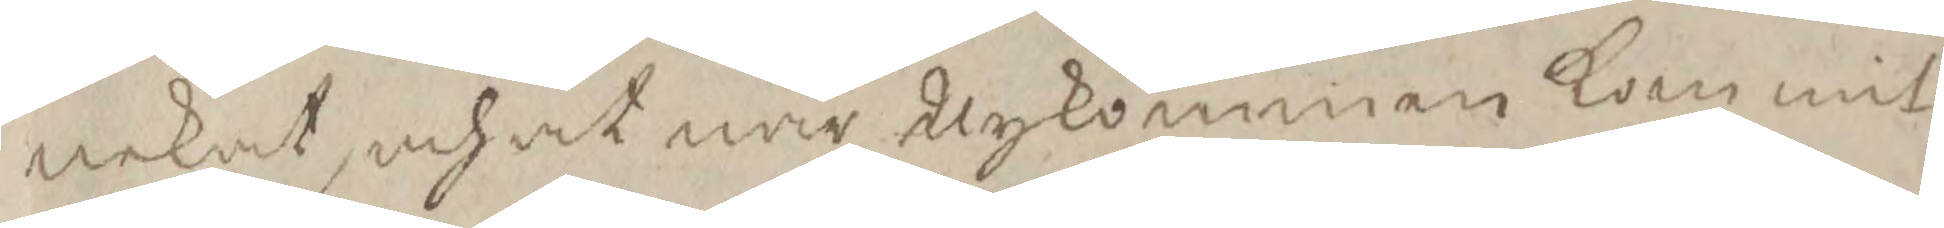nekat, och at när Nykomman Kommit
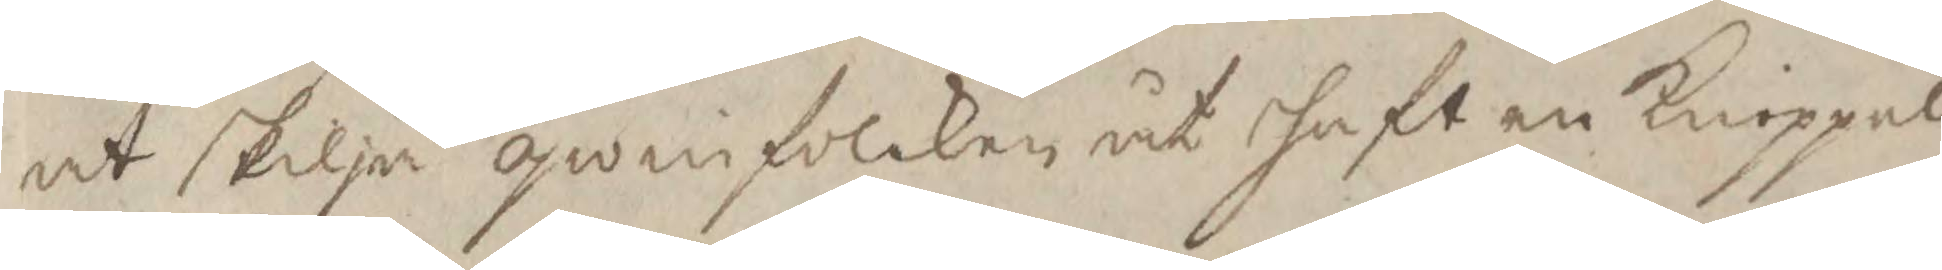at skilja qwinfolcken åt haft en Knöppel
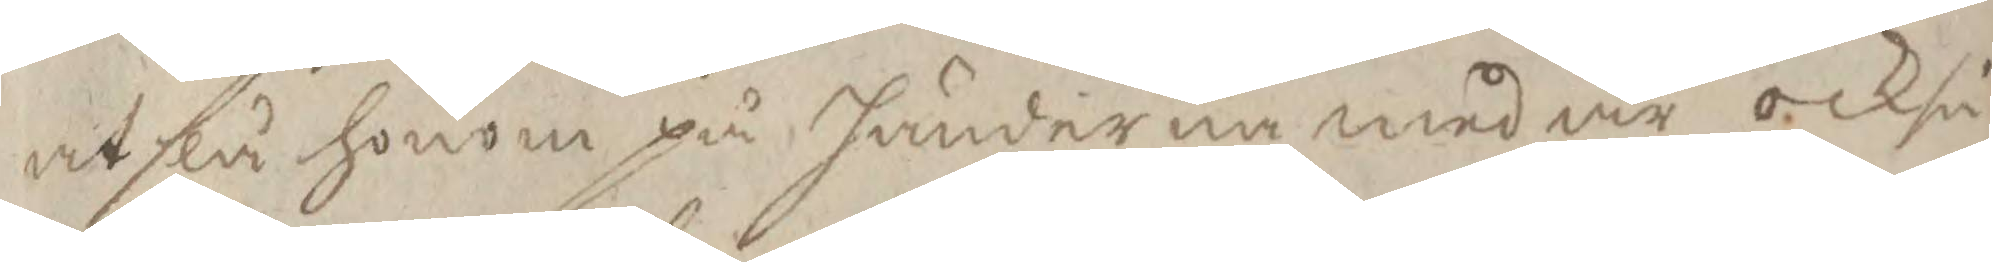at slå honom på händerna med är också
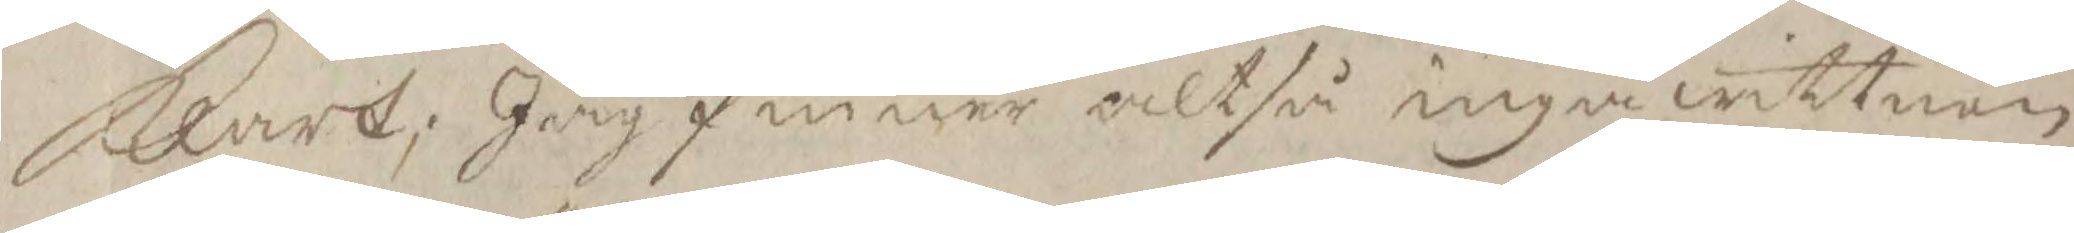Klart; Jag finner altså inga wittnen
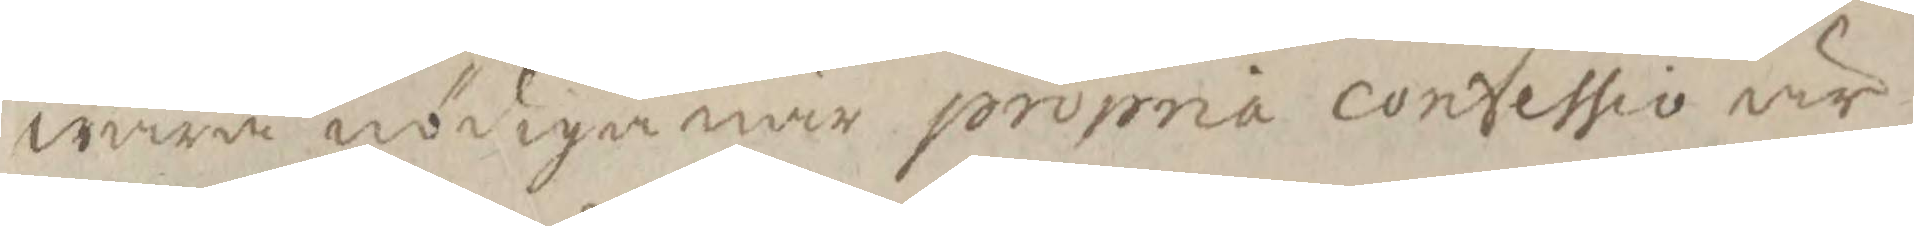wara nödige när propria confessio är
